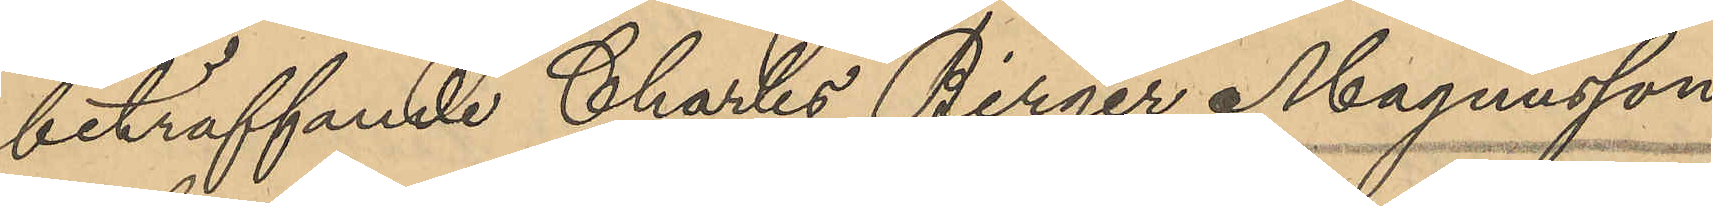beträffande Charles Birger Magnusson:
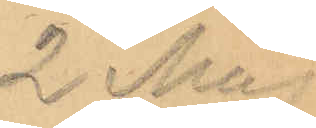2 Maj
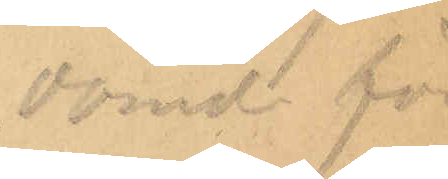dömd för 
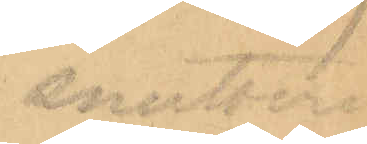snatteri
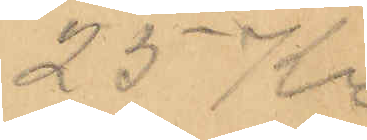25 Kr.
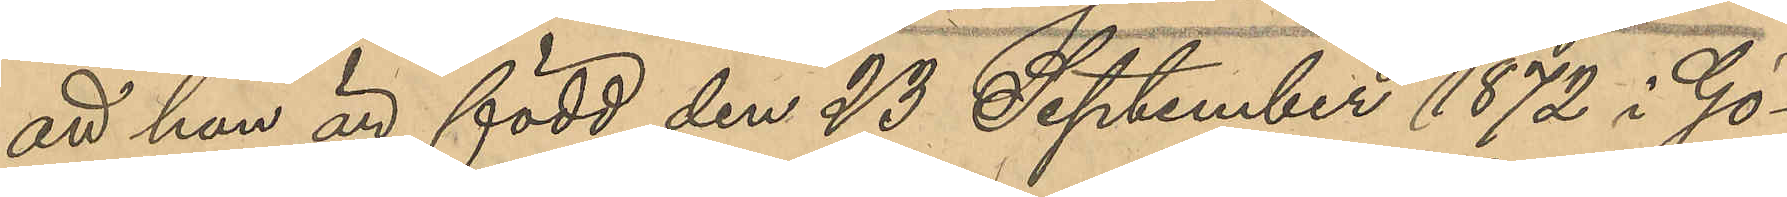att han är född den 23 September 1872 i Gö¬
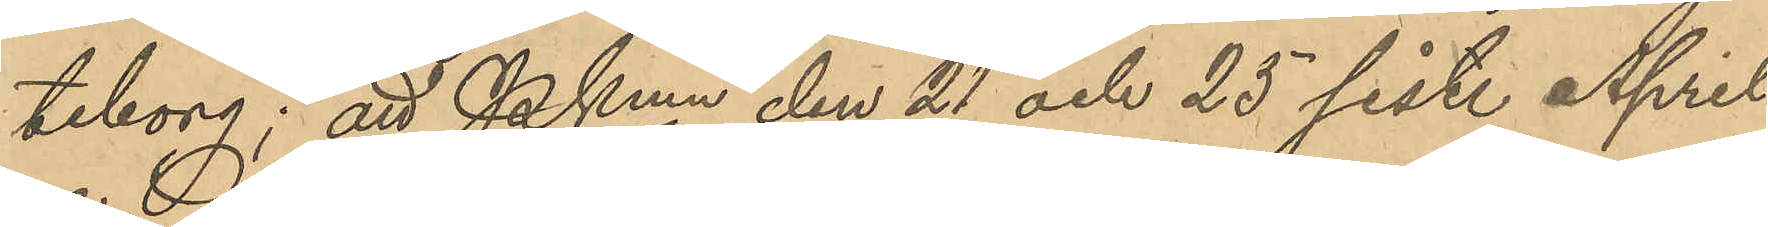teborg; att PKmn den 21 och 25 sist. April
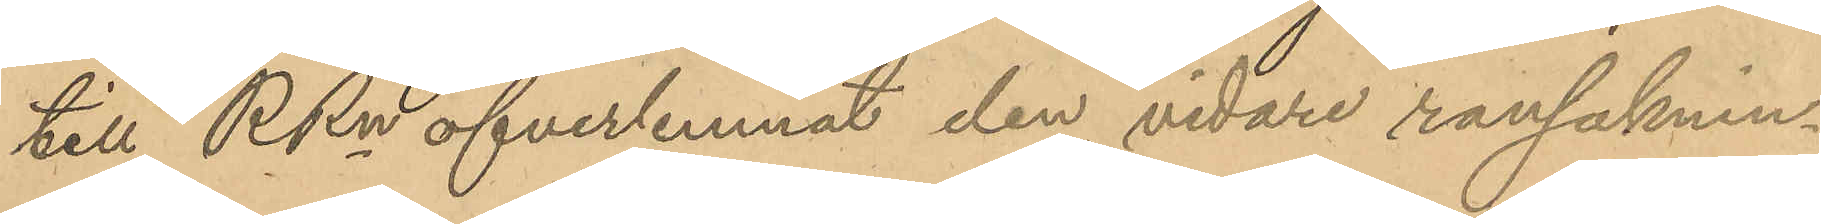till RRn öfverlemnat den vidare rannsaknin¬
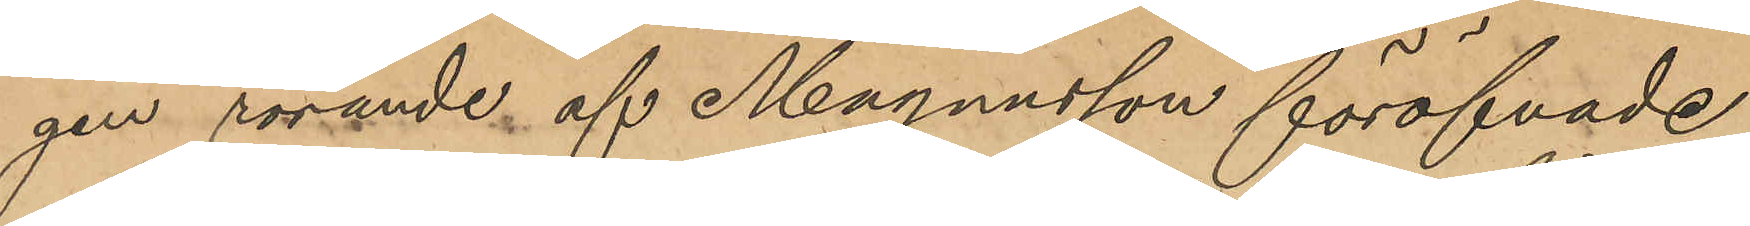gen rörande af Magnusson föröfvade
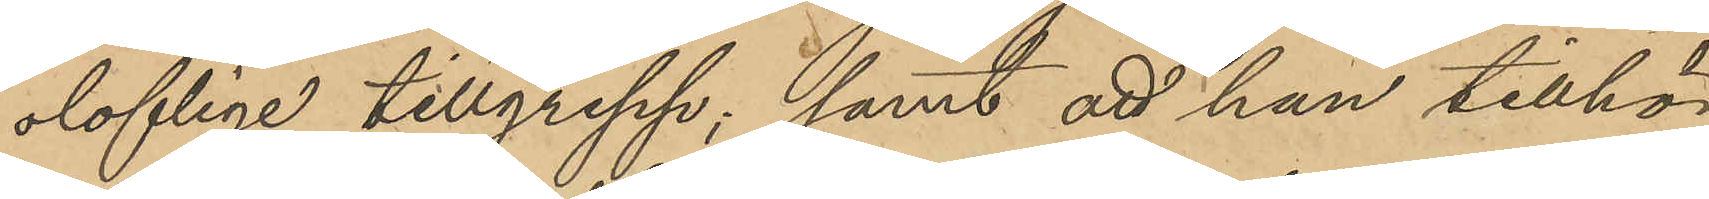oloflige tillgrepp; samt att han tillhör
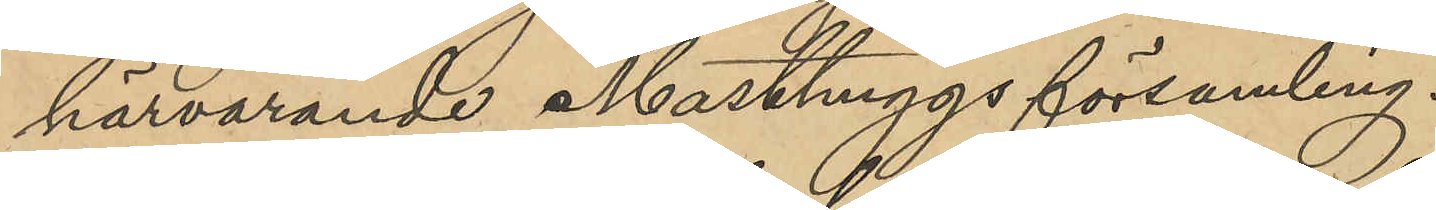härvarande Masthuggsförsamling.
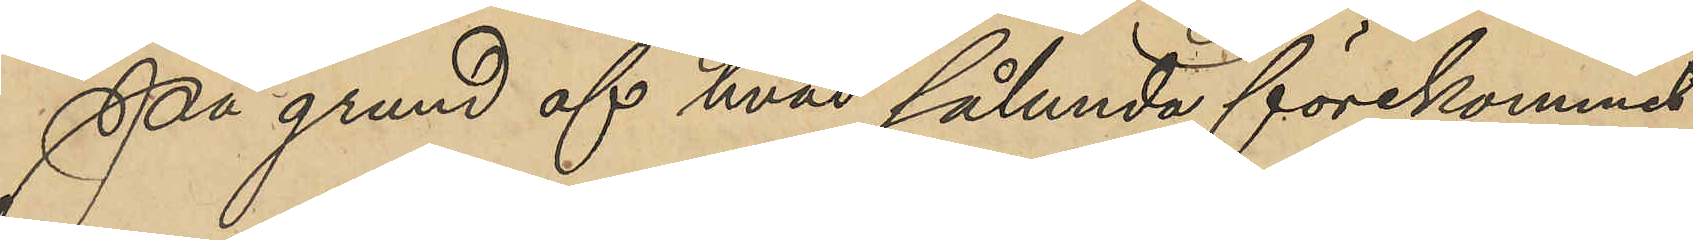På grund af hvad sålunda förekommit
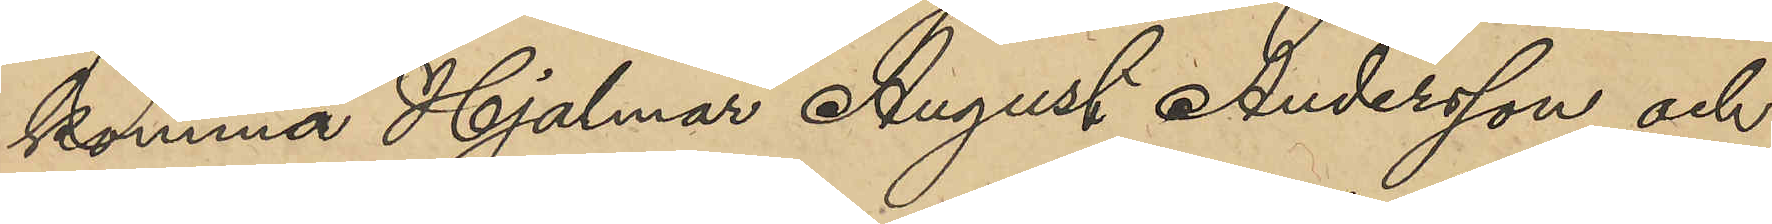komma Hjalmar August Andersson, och
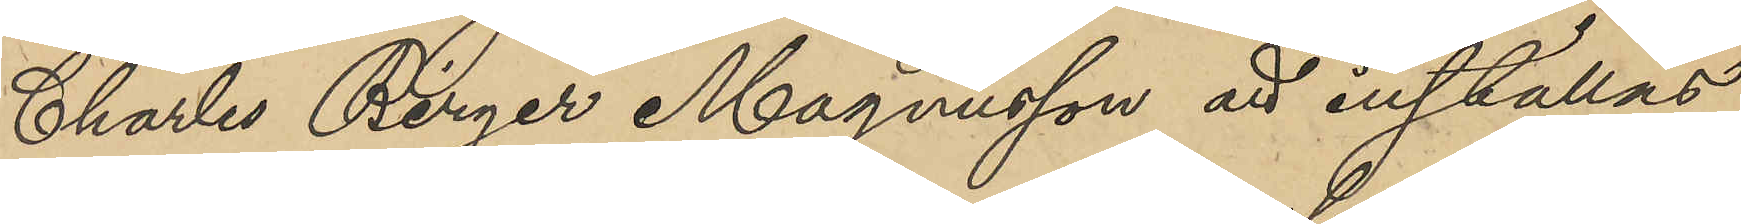Charles Birger Magnusson att inställas
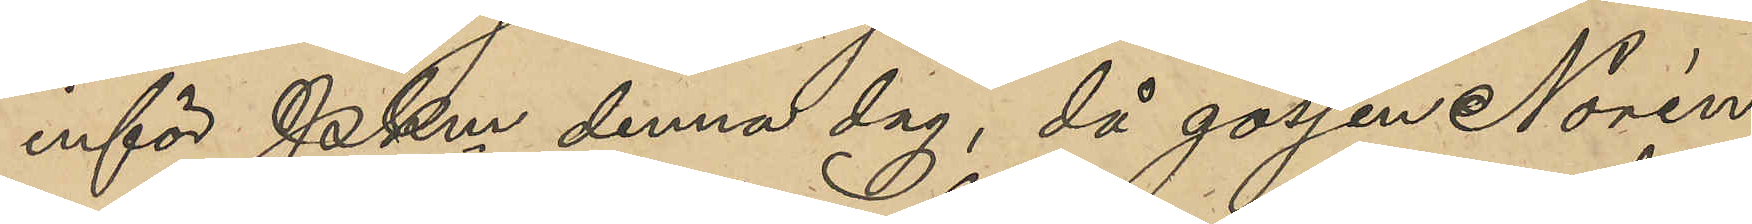inför PKm denna dag, då gossen Norén
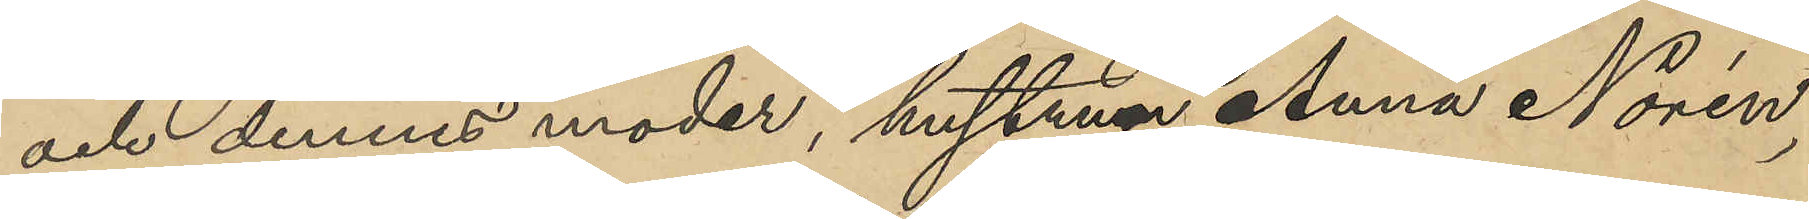och dennes moder, hustrun Anna Norén,
